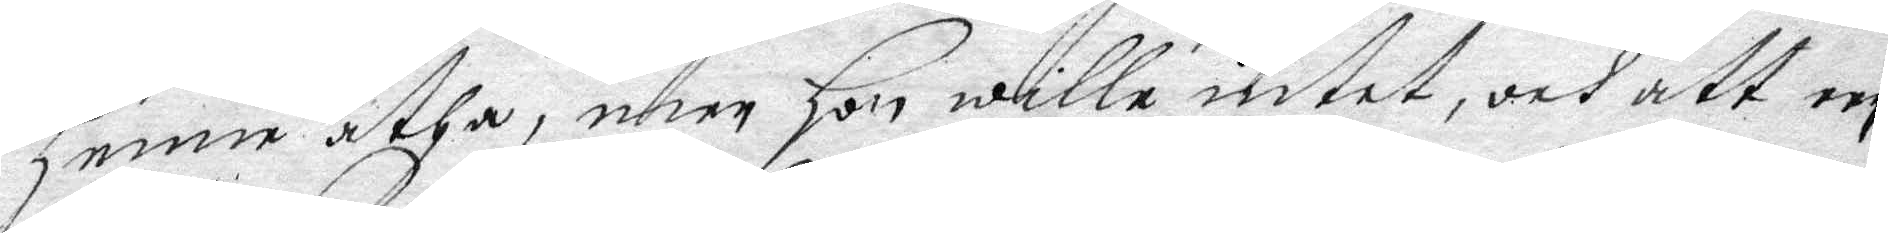henne ätha, men Hon wille intet, och att een
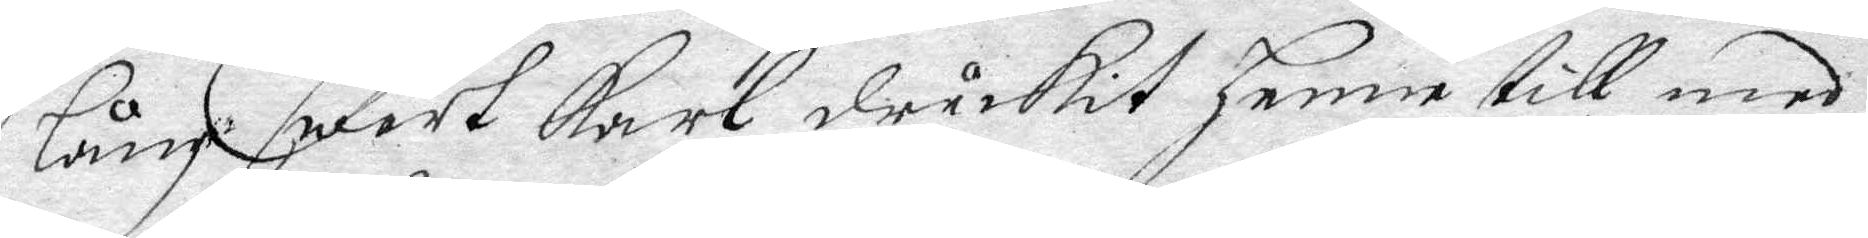lång swart Karl druckit henne till med
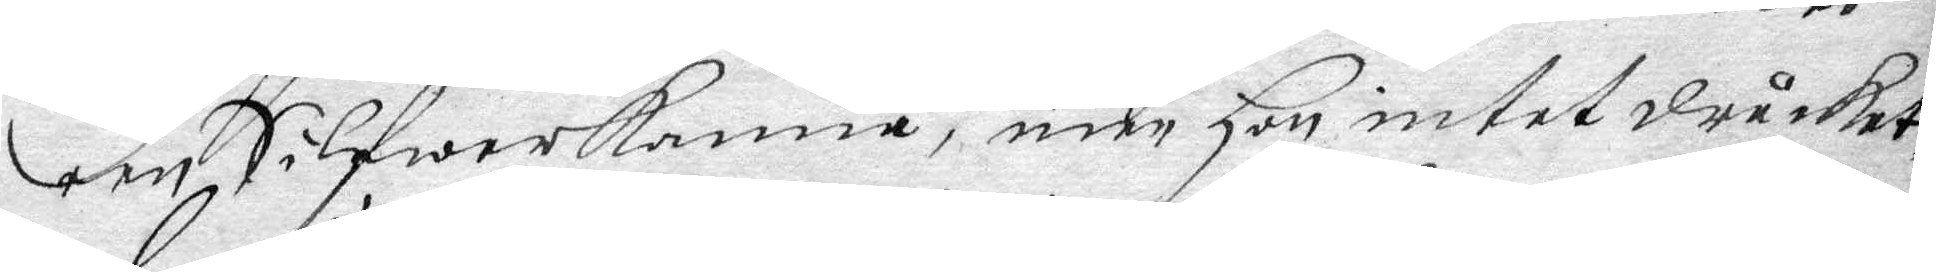een Silfwerkanna, mer Hon intet drucket,
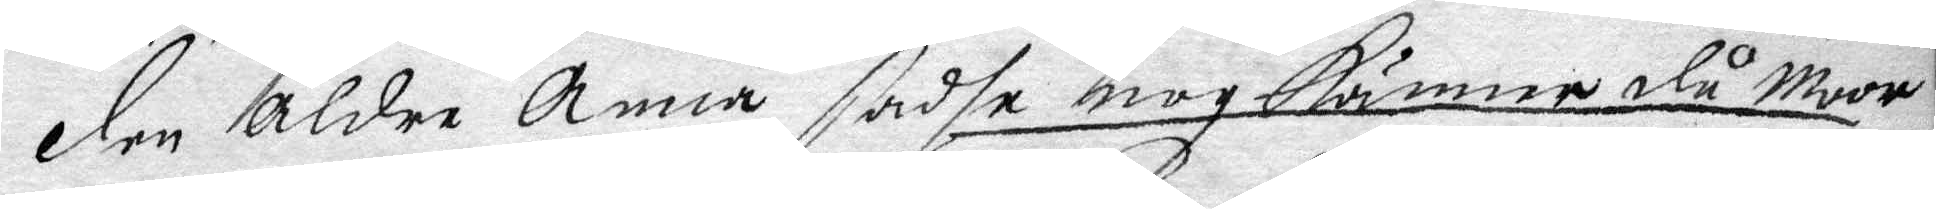den äldre Anna sadhe nog känner du Moor
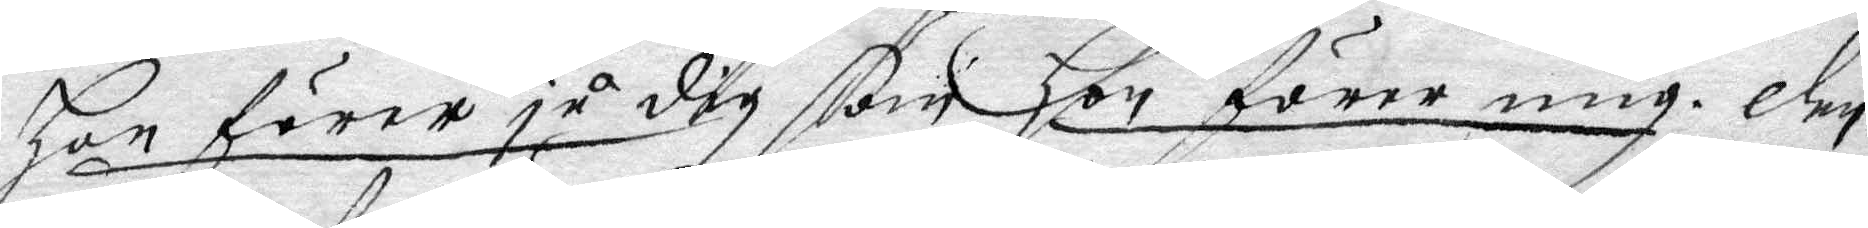hon förer ju dig som hon förer mig. den
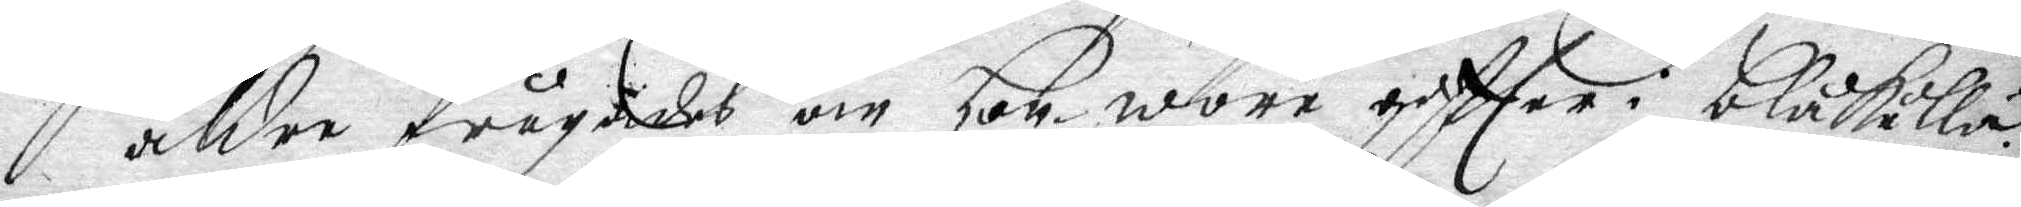äldre frågades om hom wore giftter i blåkulla,
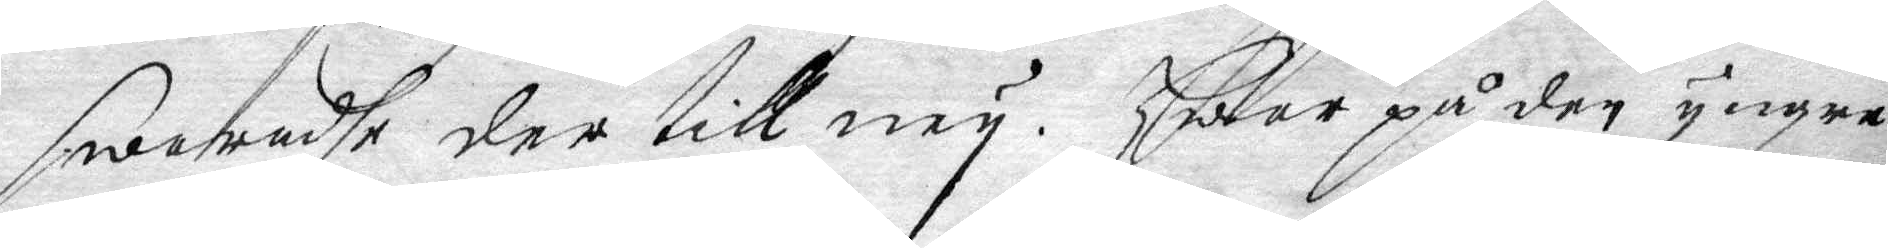swaradhe der till ney. Hwar på den yngre
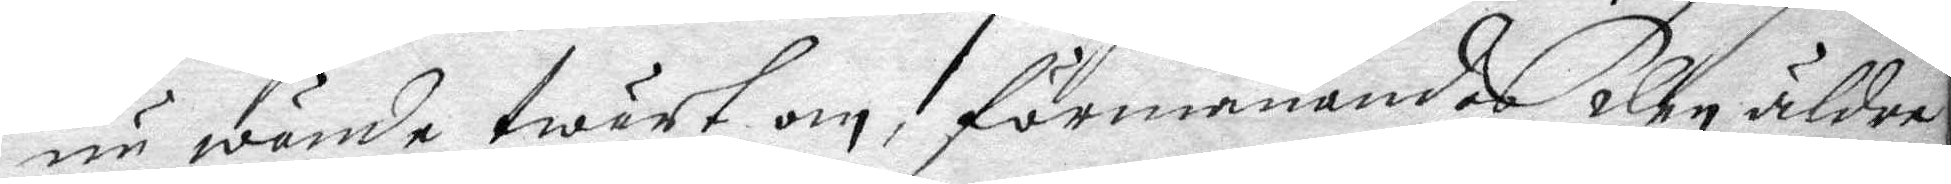nu wände twärt om, förmanandes Elen äldre
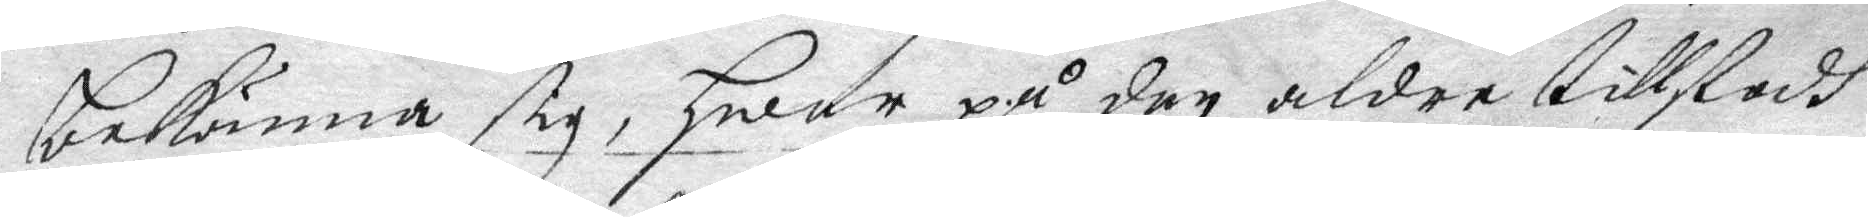bekänna sig, hwar på den äldre tillstodh
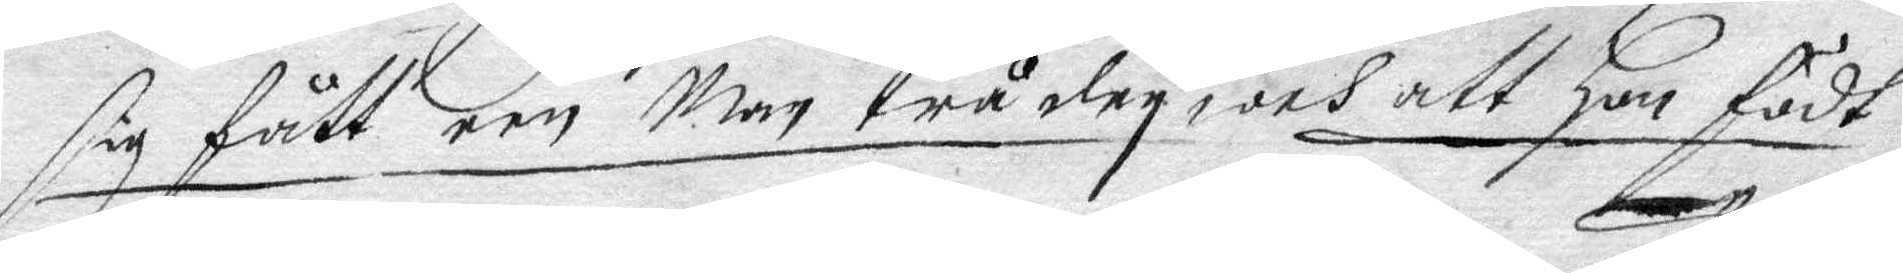sig fått een Man trå dey, och att Hon fädt
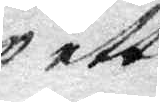ett
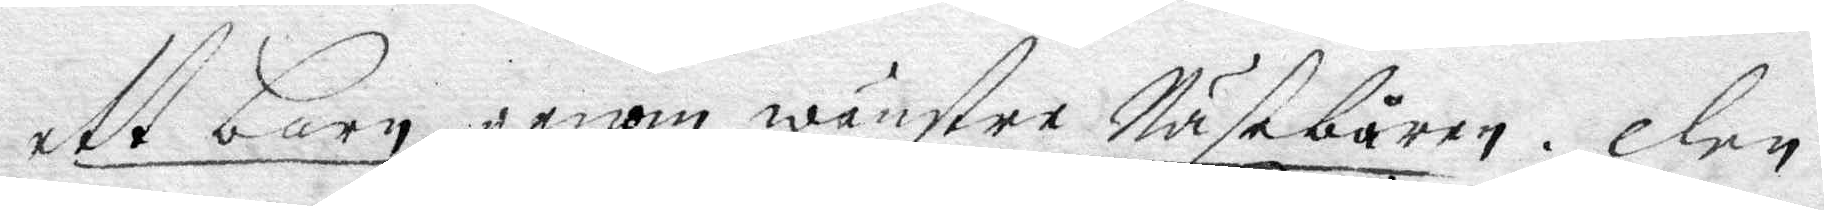ett barn genom wänstre Näsebåren, den
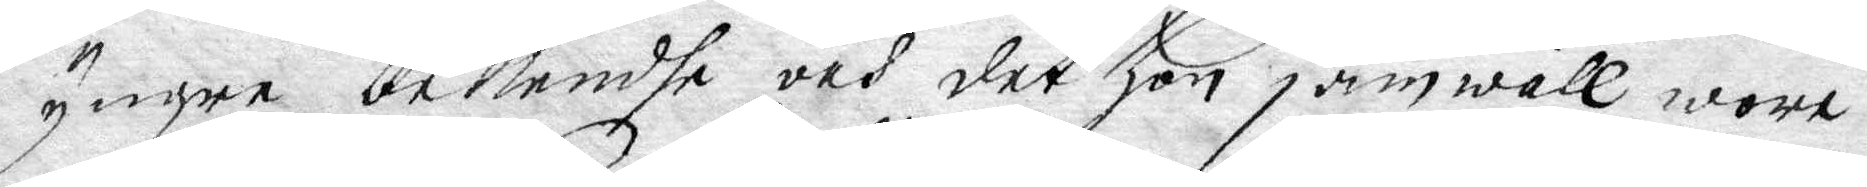yngre bekendhe och det hon jämwäll wore
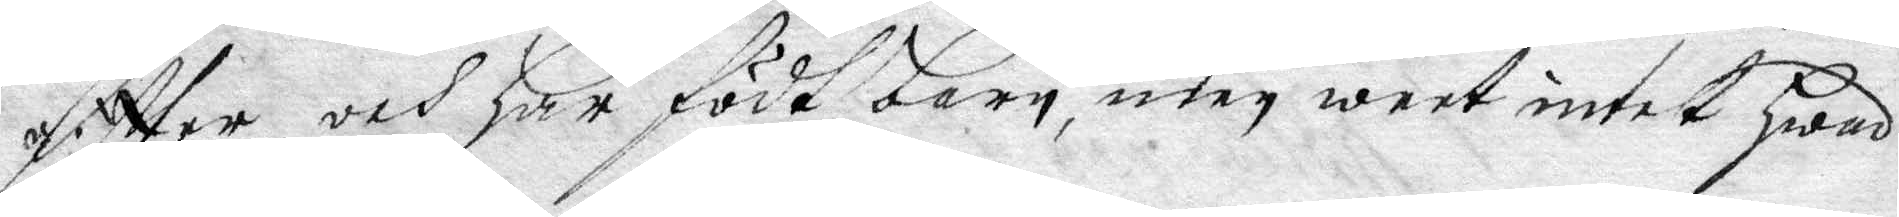eftter och har födt barn, men weet intet hwad
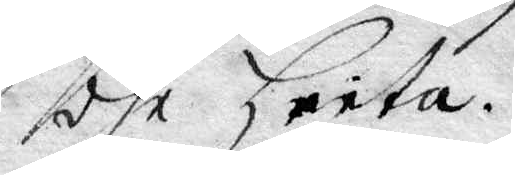dhe heita.
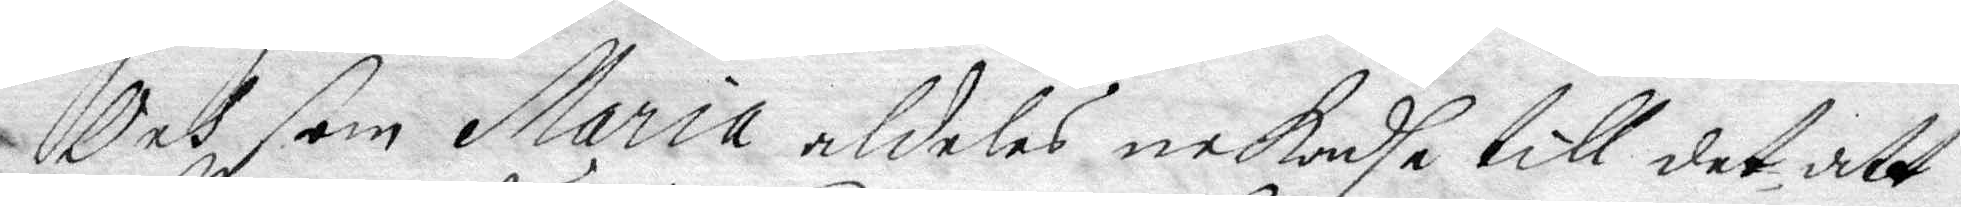Och som Maria aldeles nekadhe till det, att
